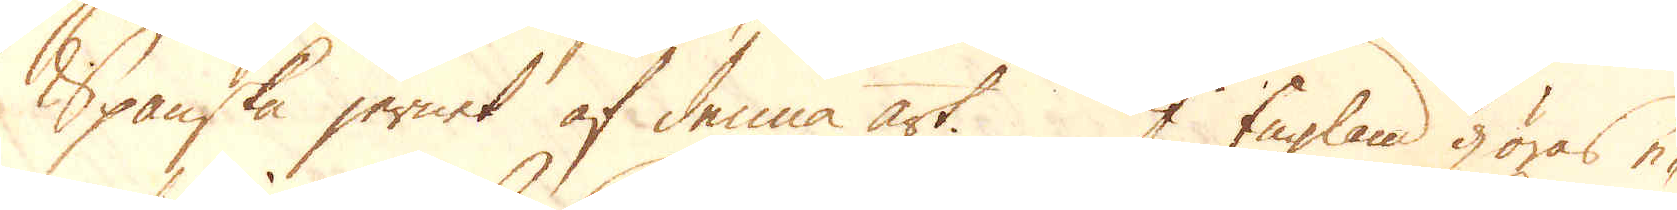Spanska jernet af denna art. I England göras e-
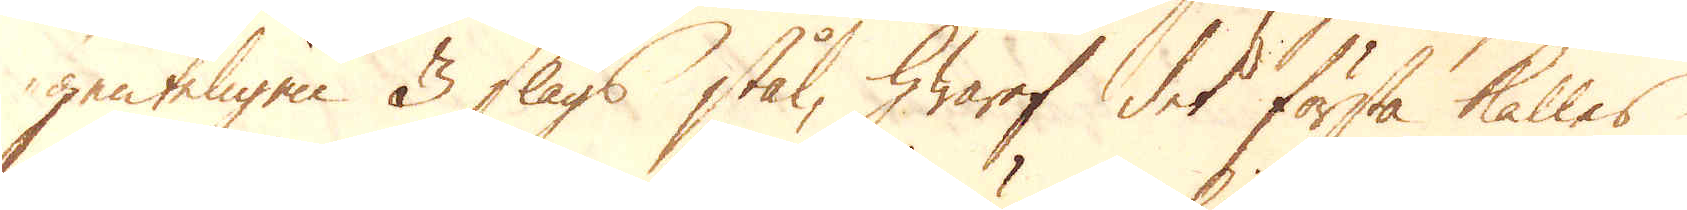genteligen 3 slags stål, hwaraf det första kallas
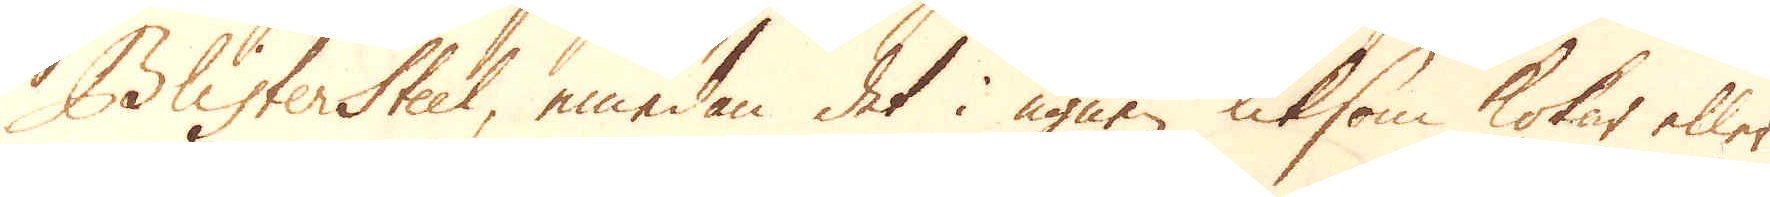Blister Steel, emedan det i ugnen liksom kokar eller
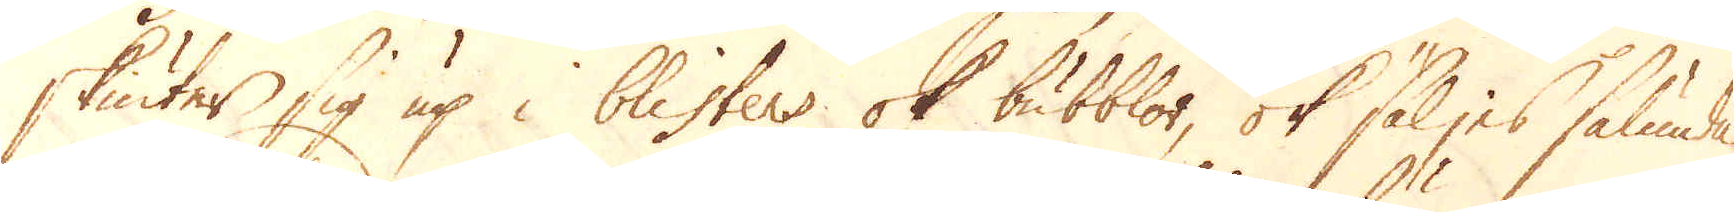skiuter sig up i blisters ok bubblor, ok säljes sålunda
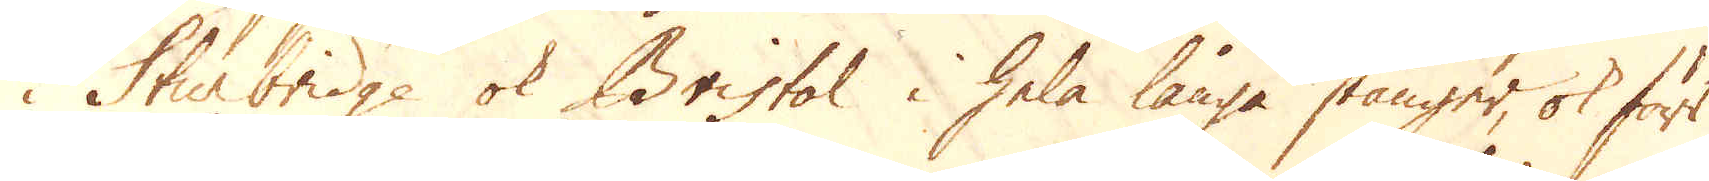i Sturbridge ok Bristol i hela långa stänger, ok förr
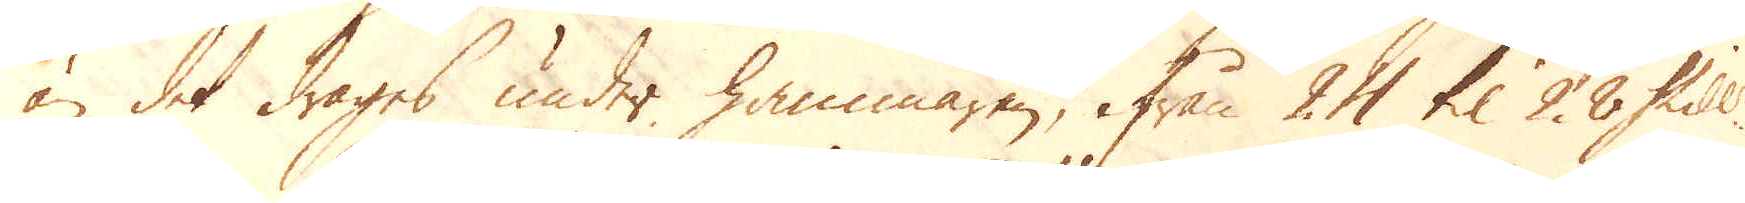än det drages under hammaren, ifrån 24 til 28 Skill:r
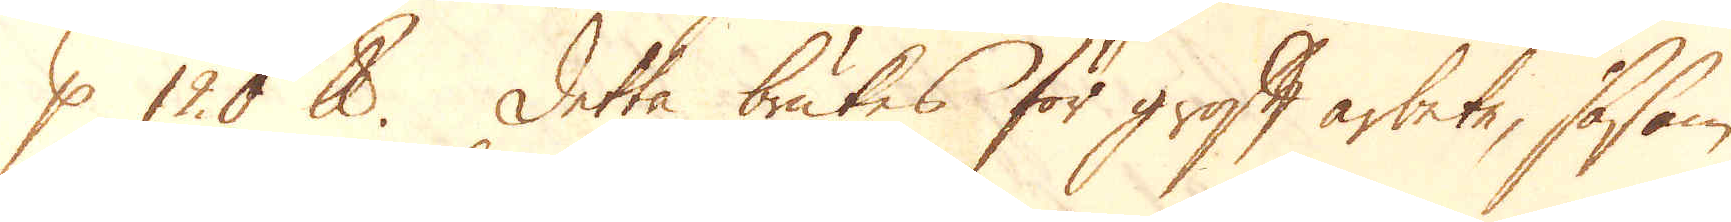p 120 skålpund. Detta brukes för groft arbete, såsom
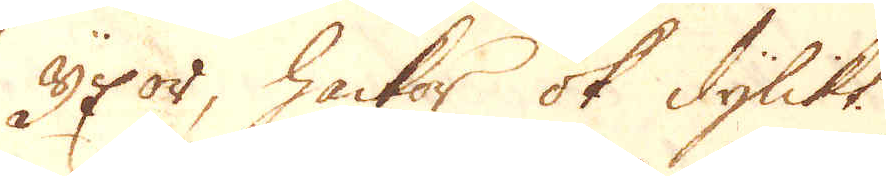yxor, hackor ok dylikt.
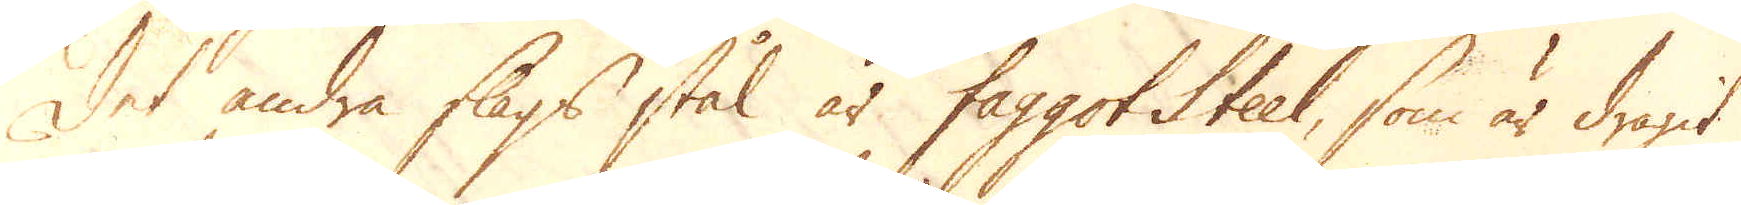Det andra slags stål är faggot Steel, som är dragit
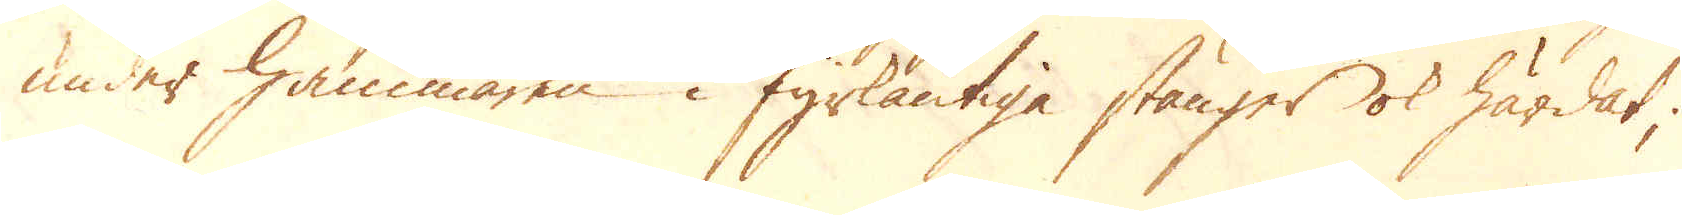under hammaren i fyrkantiga stänger ok härdat;
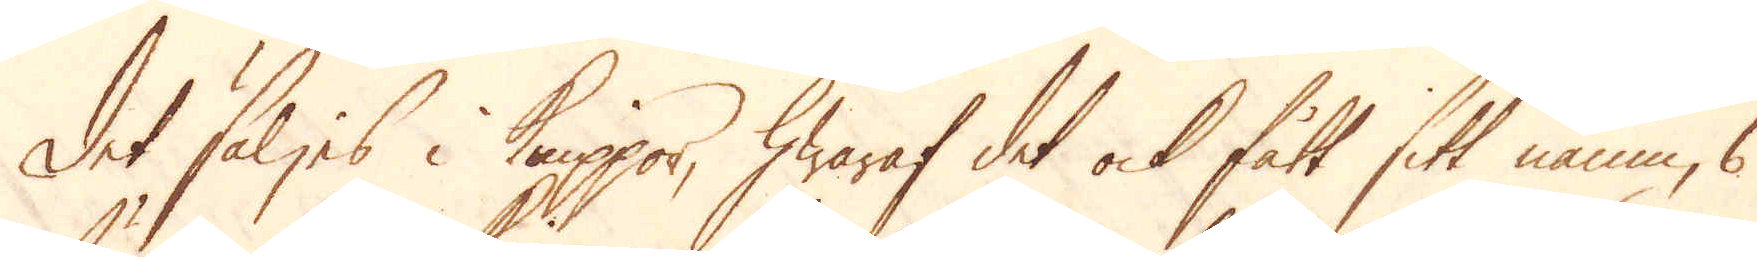Det säljes i Knippor, hwaraf det ock fått sitt namn, 6
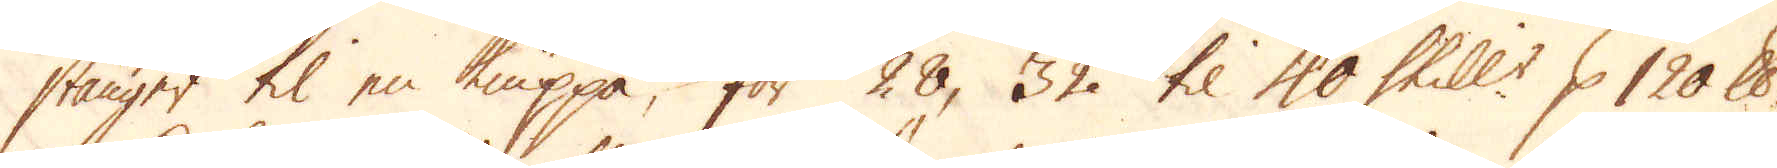stänger til en knippa, för 28, 32 til 40 Skill:r p 120 skålpund
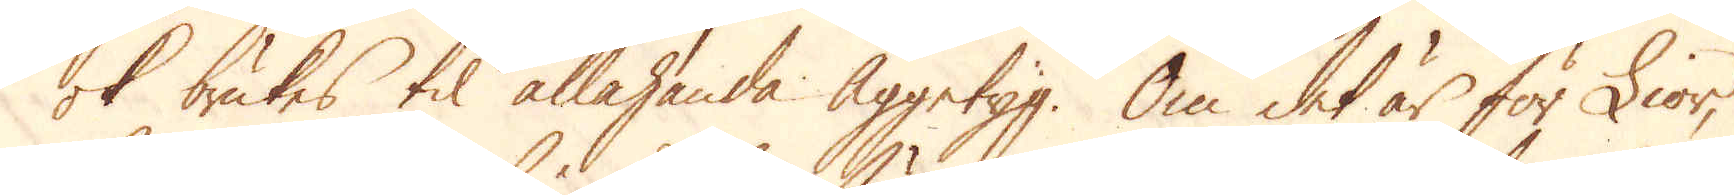ok brukes til allahanda Äggetyg. Om det är för Lior,
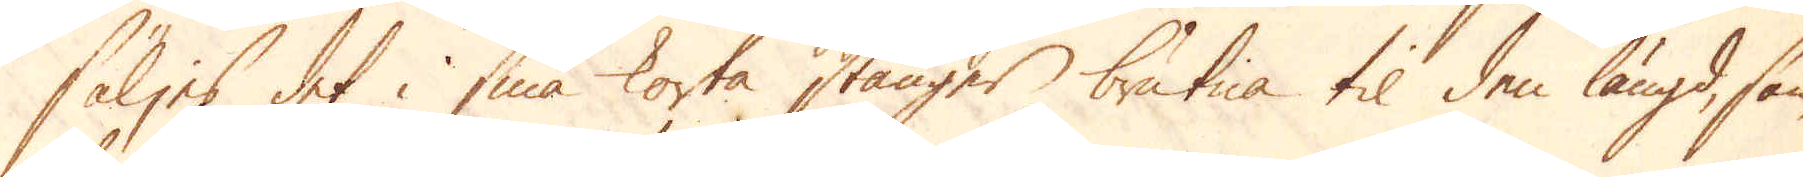säljes det i små korta stänger brutna til den längd, som
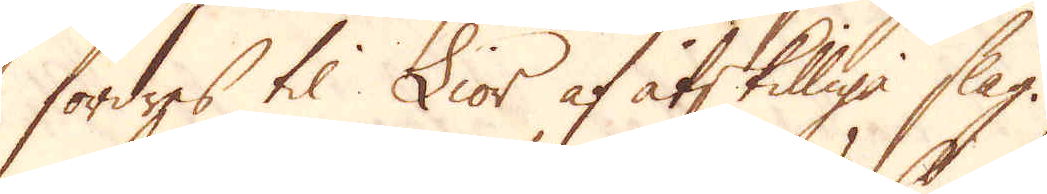fordres til Lior af åtskilliga slag.
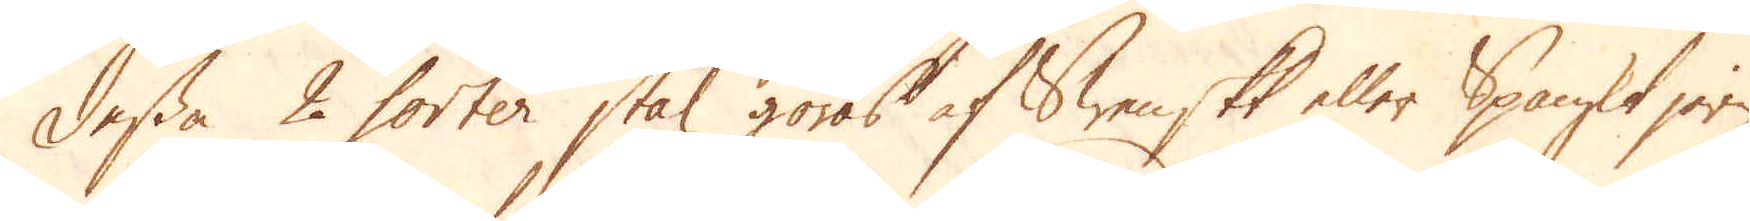Dessa 2 sorter stål göras af Swenskt eller Spanskt jern,
